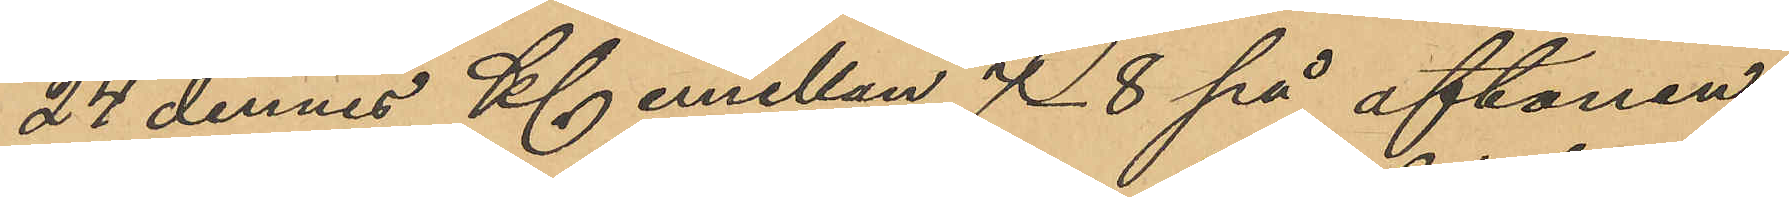24 dennes Kl emellan 7 -  8 på aftonen
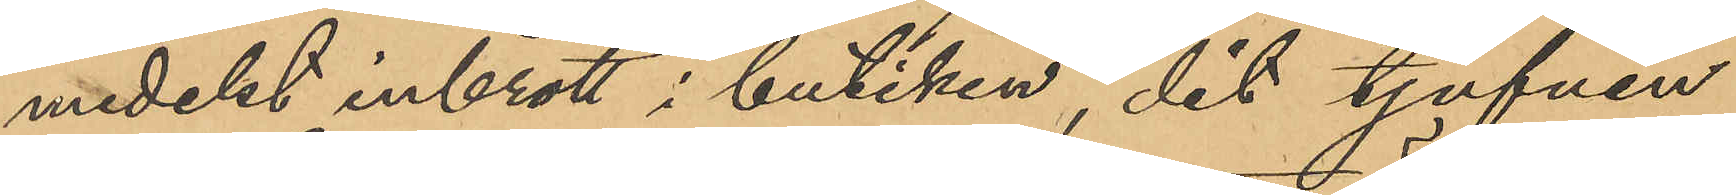medelst inbrott i butiken, dit tjufven
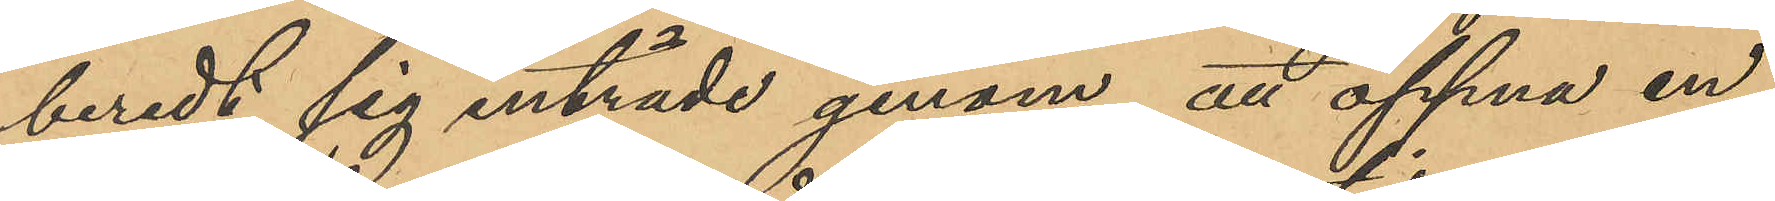beredt sig inträde genom att öppna en
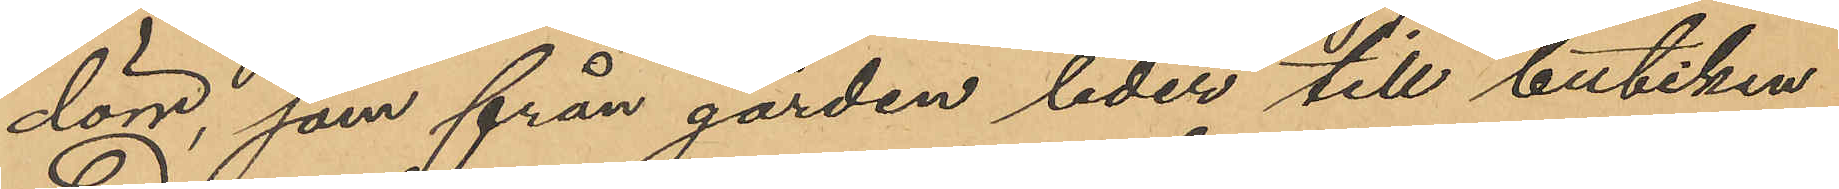dörr, som från gården leder till butiken
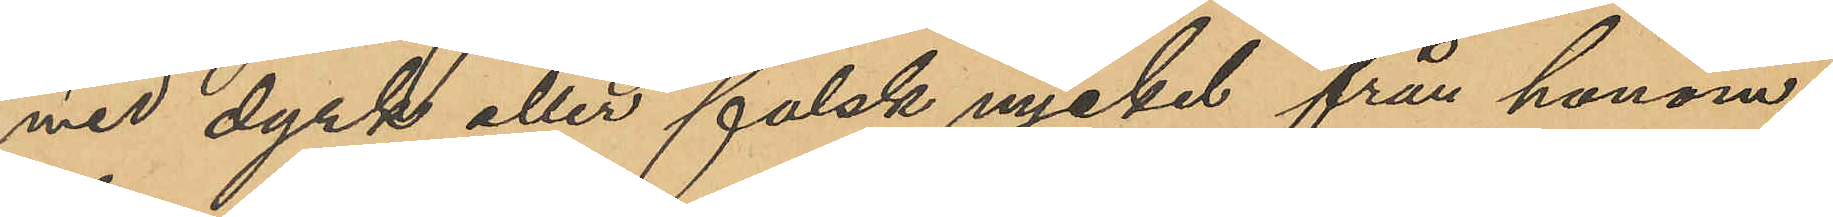med dyrk eller falsk nyckel från honom
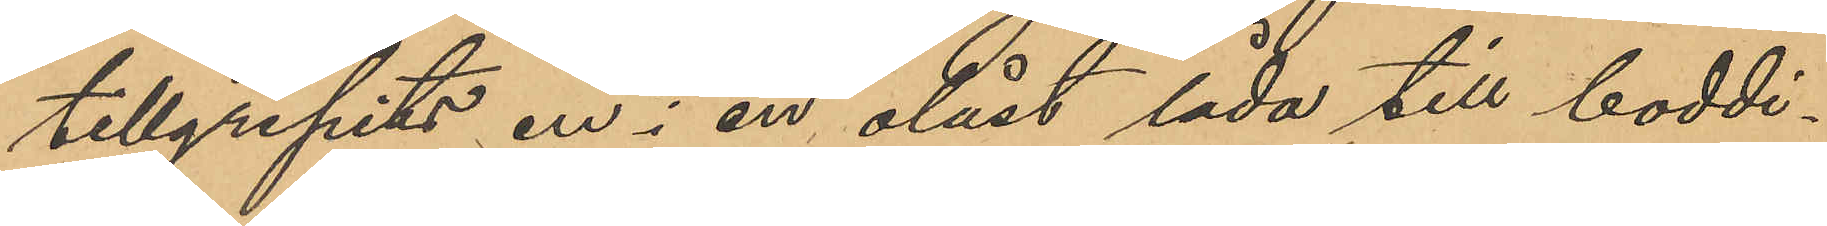tillgripits en i en olåst låda till boddi¬
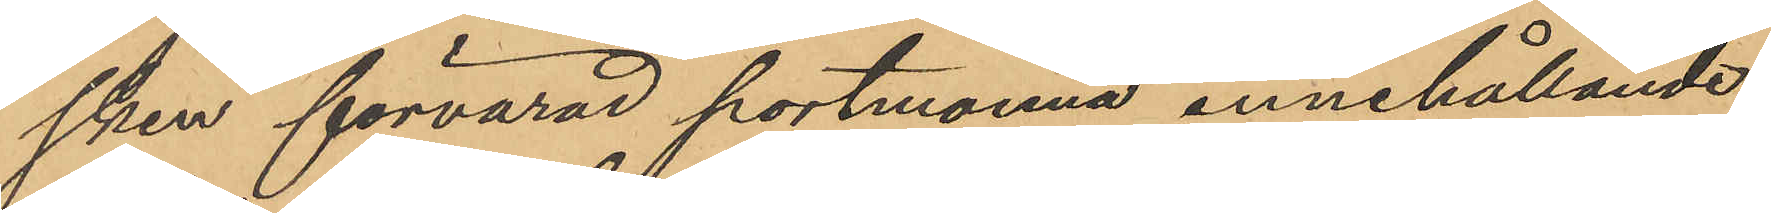sken förvarad portmonnä innehållande
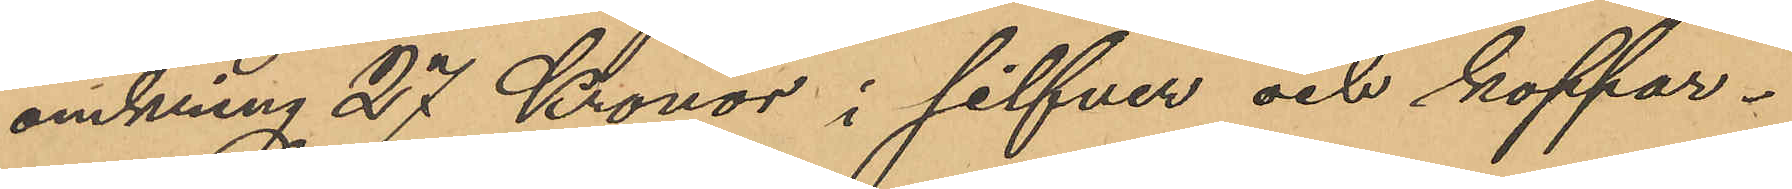omkring 27 Kronor i silfver och koppar¬
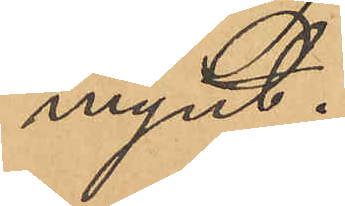mynt.
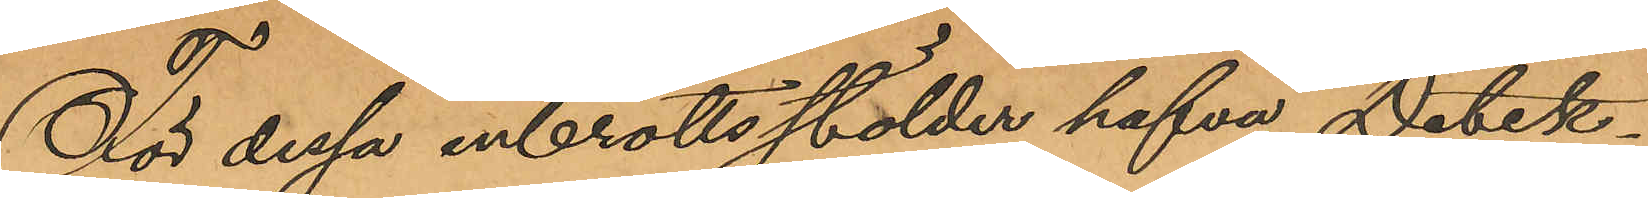För dessa inbrottsstölder hafva Detek¬
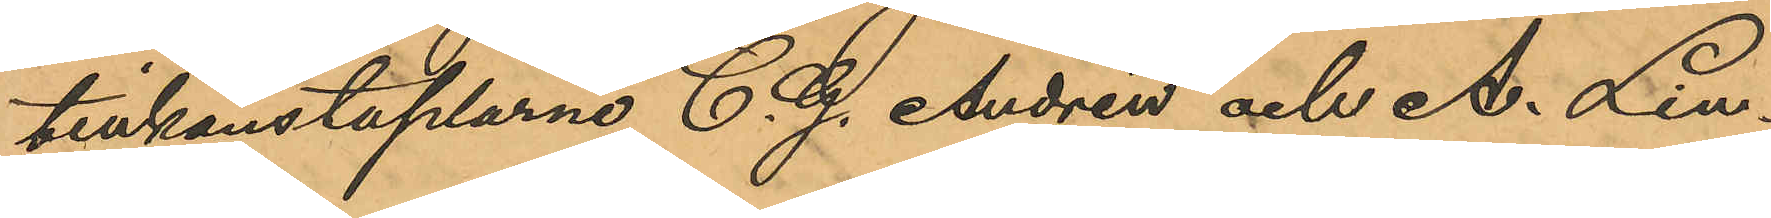tivkonstaplarne C. G. Andrén och A. Lin¬
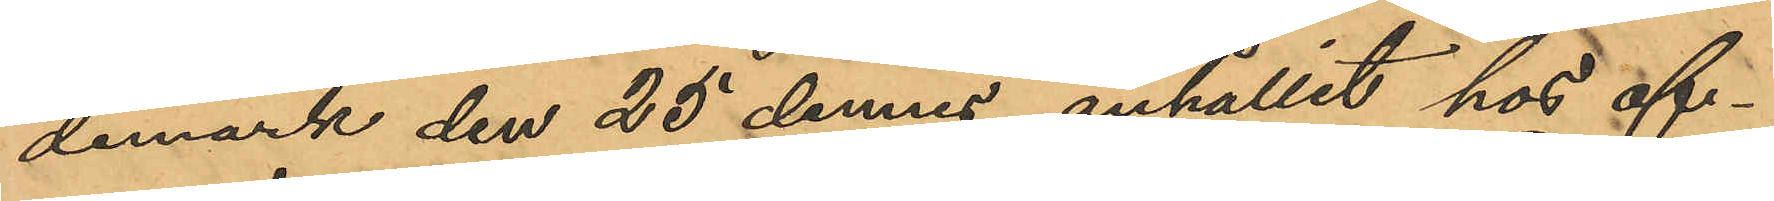demark den 25 dennes anhållit hos of¬
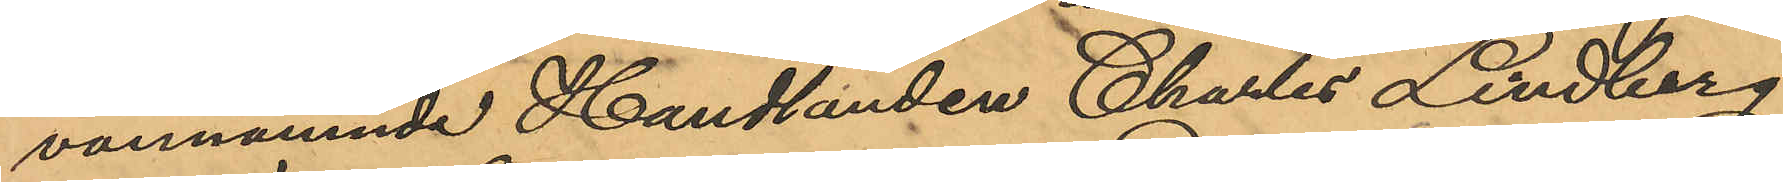vannämnde Handlanden Charles Lindberg
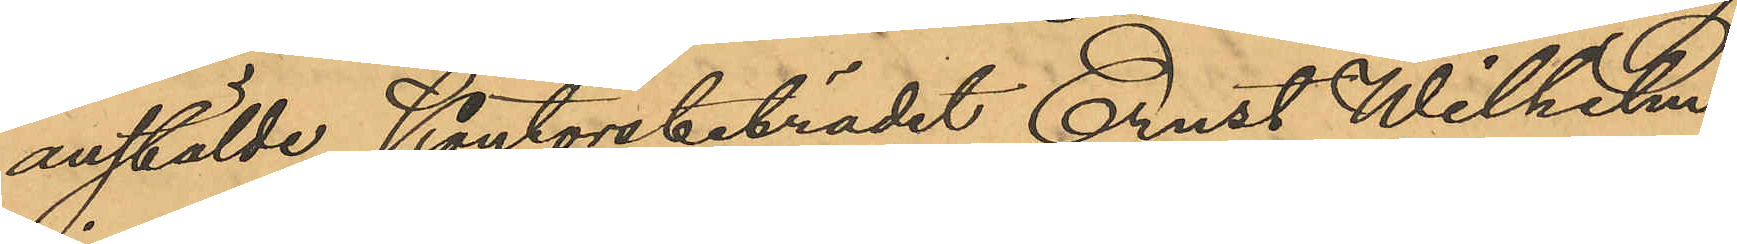anstälde Kontorsbiträdet Ernst Wilhelm
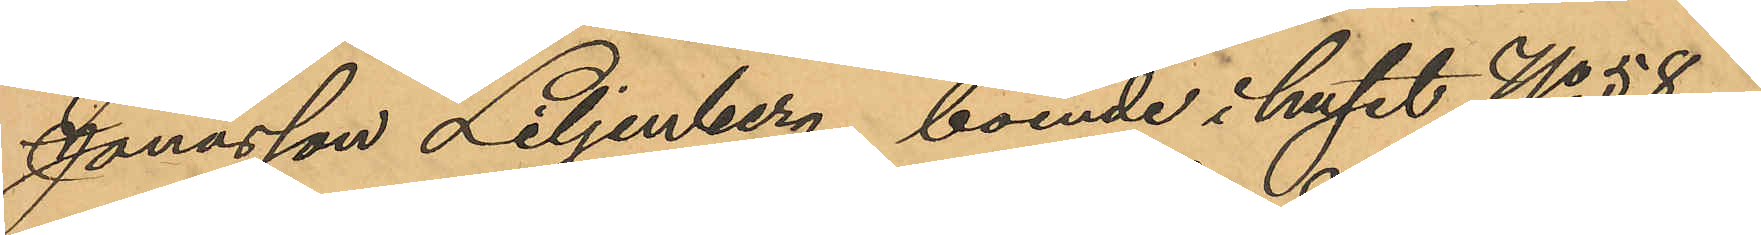Jonasson Liljenberg, boende i huset No 58 i
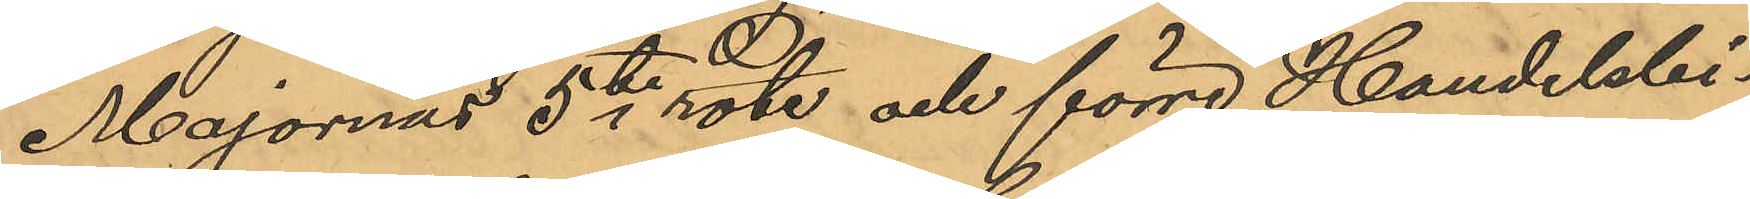Majornas 5te rote och förre Handelsbi¬
